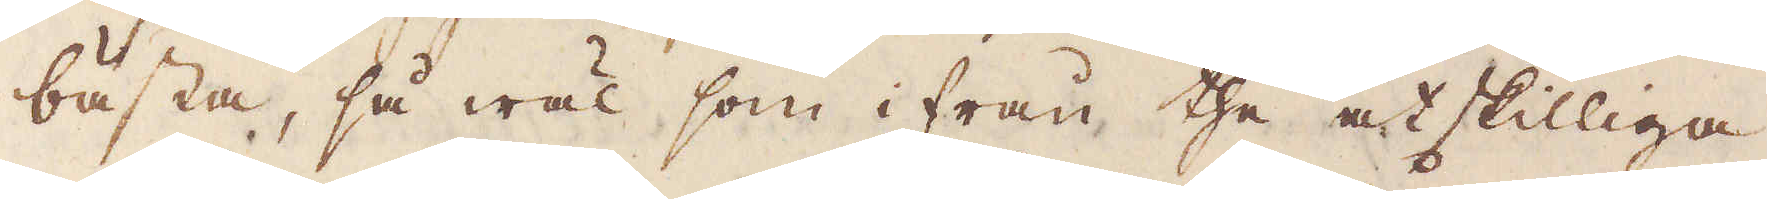bästa, så wäl som ifrån the åtskilliga
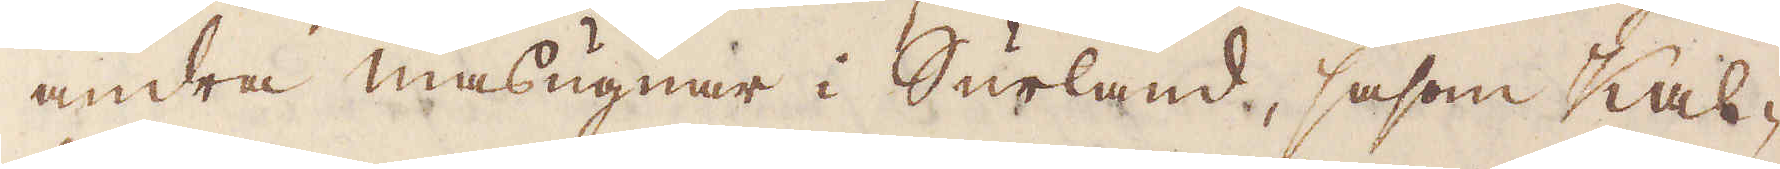andra masugnar i Surland, såsom Kal-
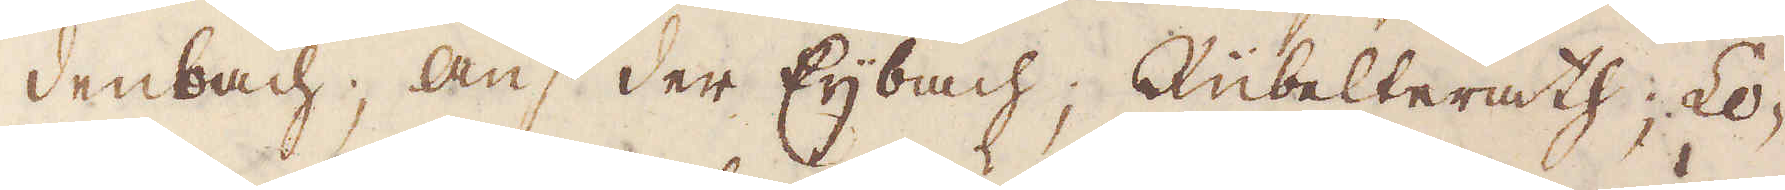denbach; Auf der Eijbach; Rübelterath; Lo-
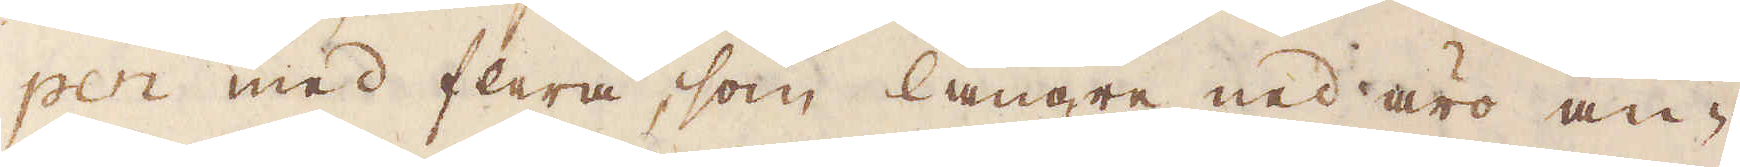pen med flera, som längre ned äro an-
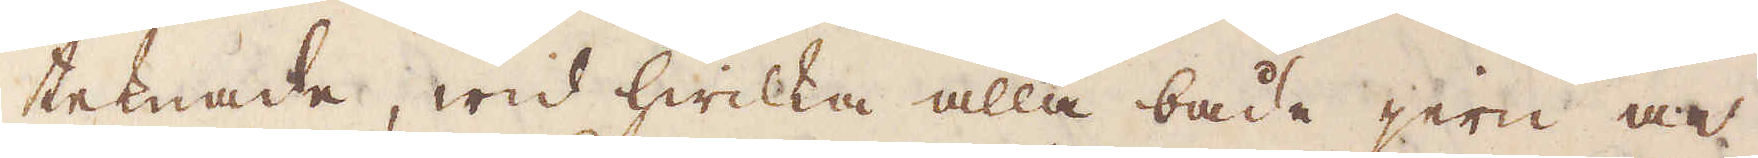teknade, wid hwilka alla både jern och
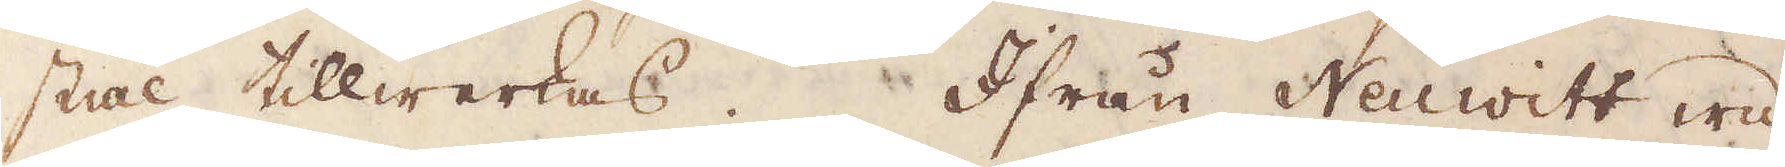stil tillwerkas. Ifrån Neuwitt wid
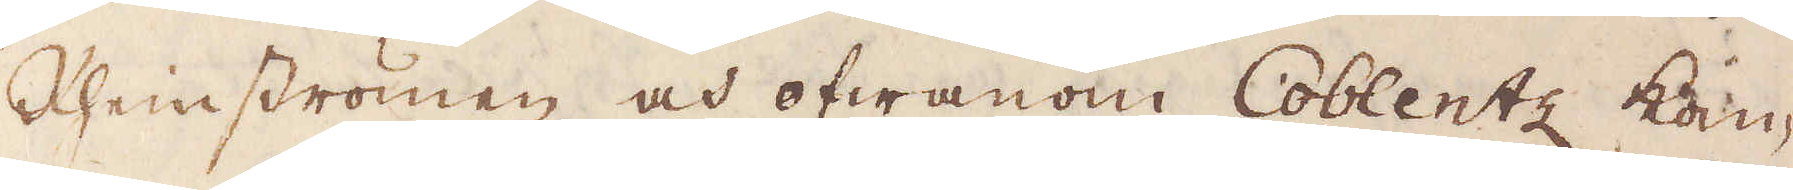Rhemströmen och ofwanom Coblentz kom-
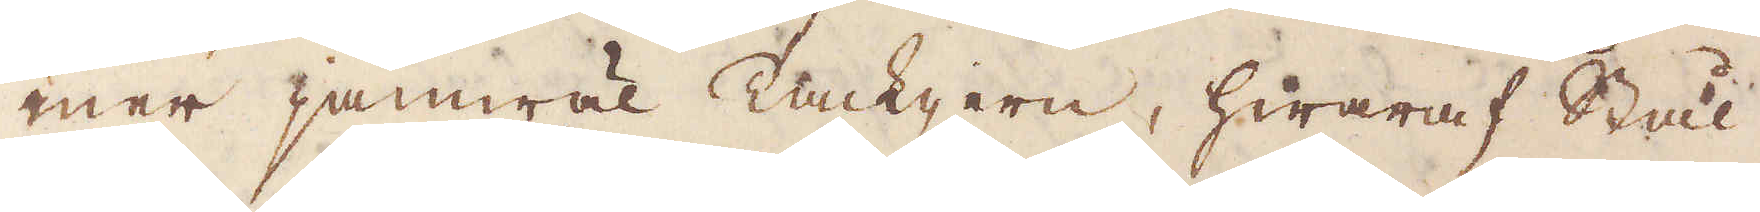mer jämwäl Tackjern, hwaraf Stål
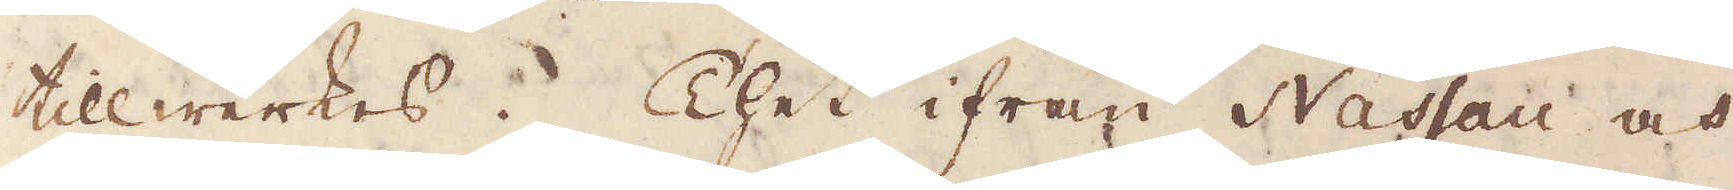tillwerkas. Thet ifrån Nassau och
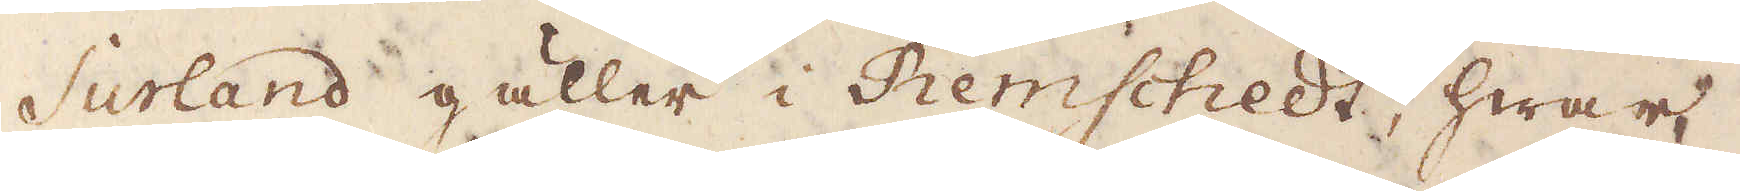Surland gäller i Remschedt, hwar
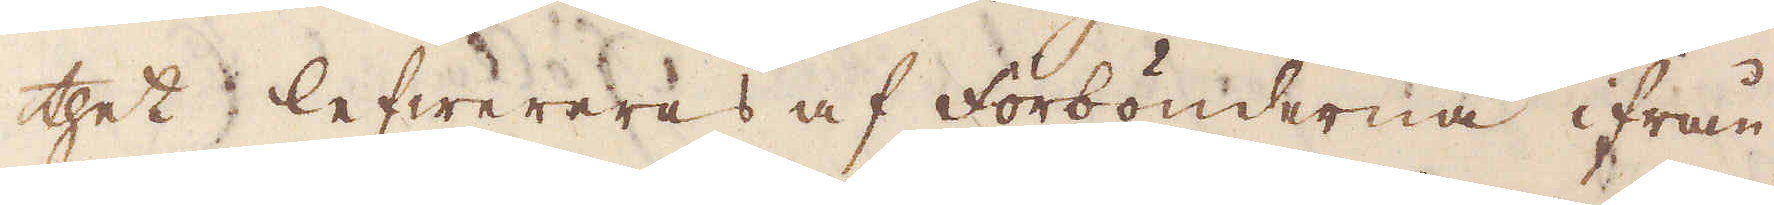thet lefwereras af forbönderna ifrån
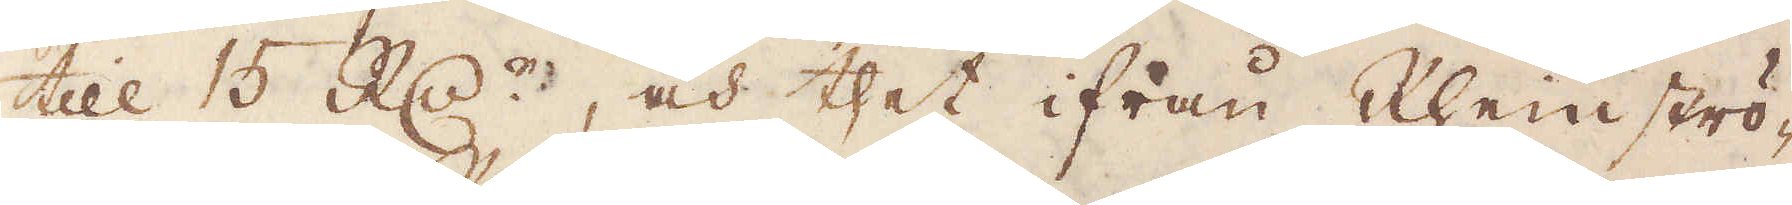till 15 R:d:r, och thet ifrån Rhenströ-
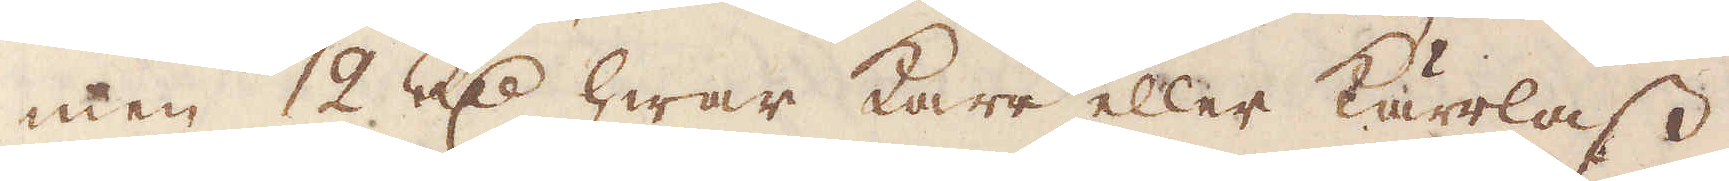men 12 R:dr hwar Karr eller Kärrlass
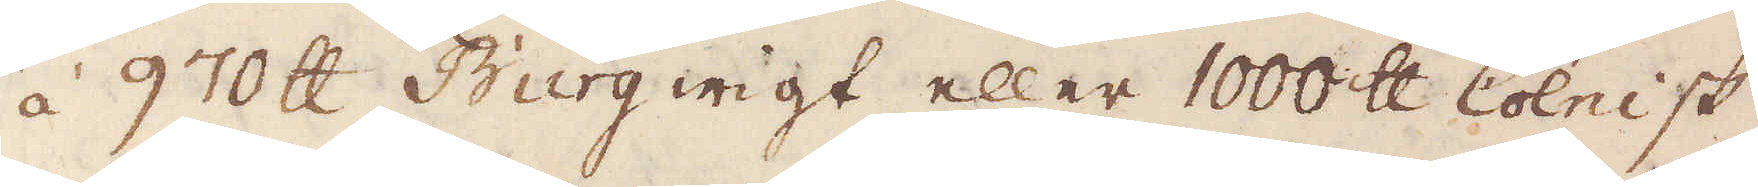á 970 skålpund Burgwigt eller 1000 skålpund Cölnisk
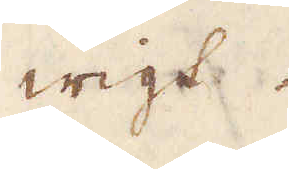wigt.
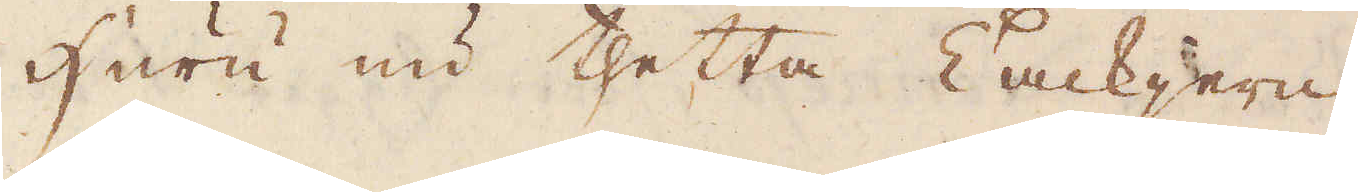Huru nu thetta Tackjern
